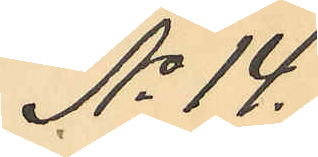No 14.
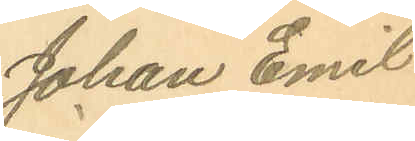Johan Emil
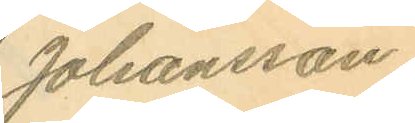Johansson.
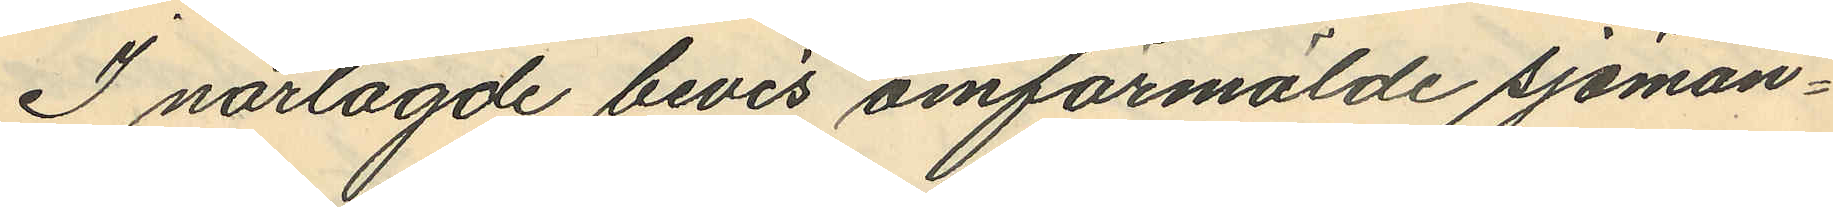I närlagde bevis omförmälde sjöman¬
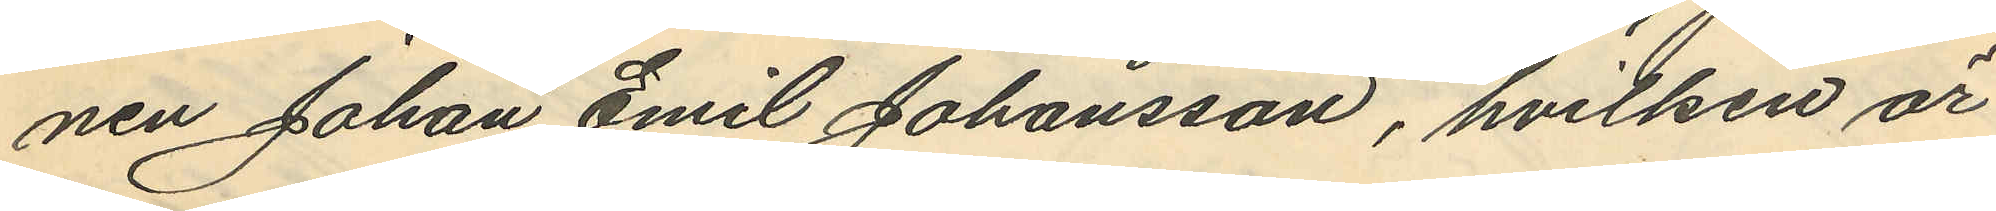nen Johan Emil Johansson, hvilken är
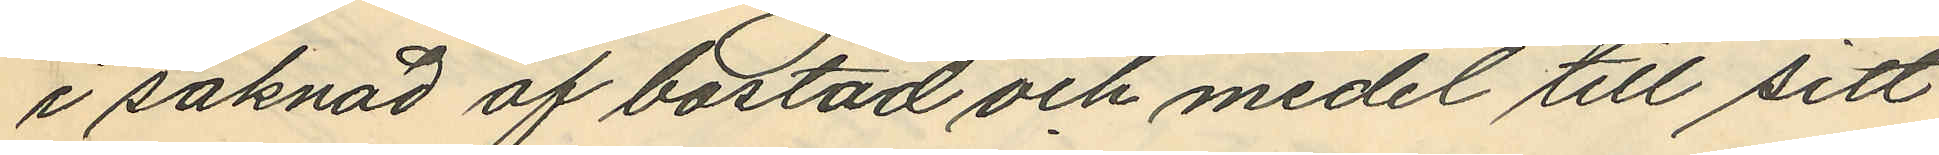i saknad af bostad och medel till sitt
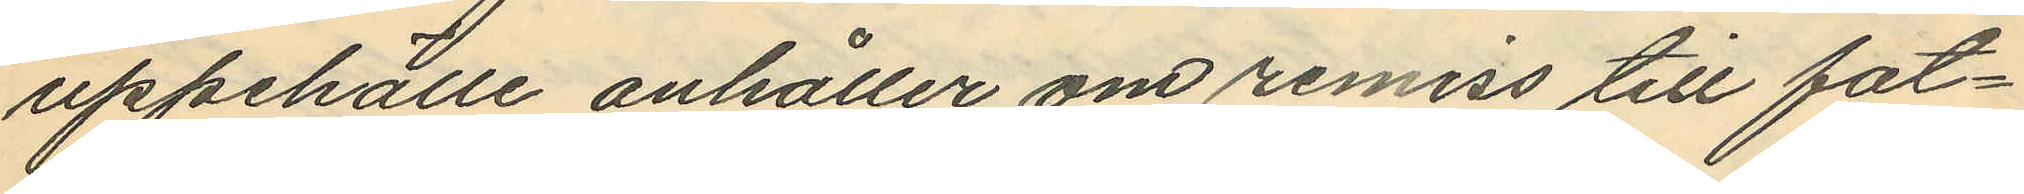uppehälle anhåller om remiss till fat¬
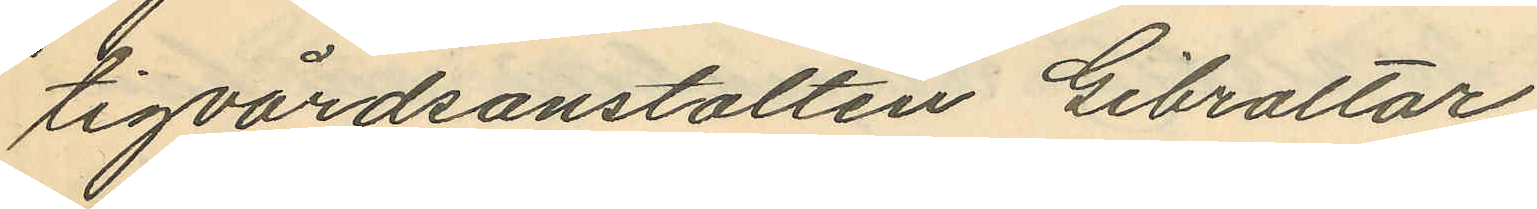tigvårdsanstalten Gibraltar.
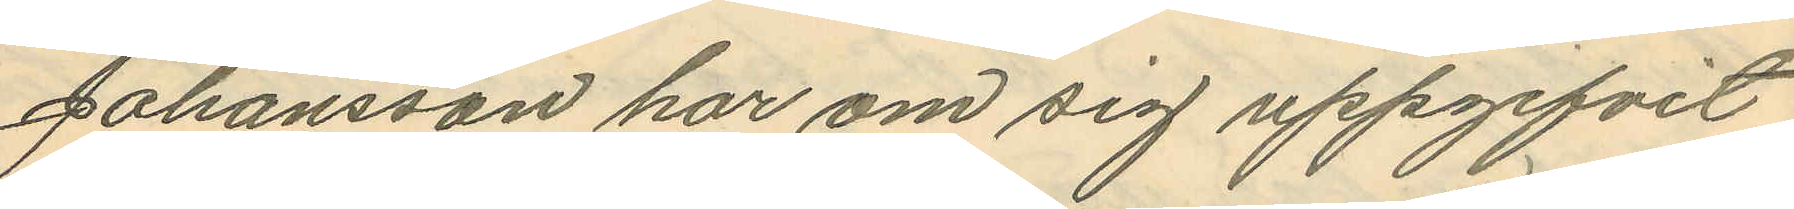Johansson har om sig uppgifvit
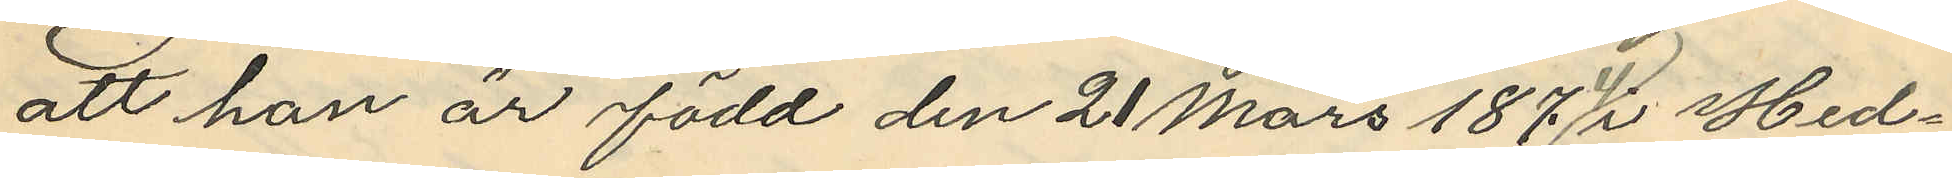att han är född den 21 Mars 1874 i Hed¬
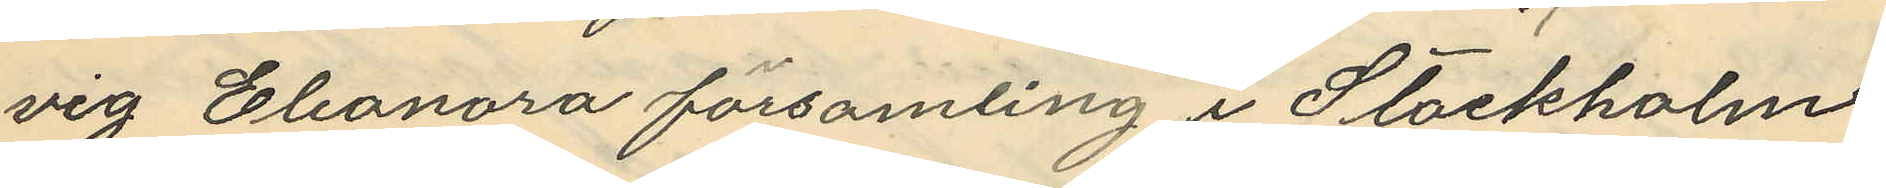vig Eleonora församling i Stockholm
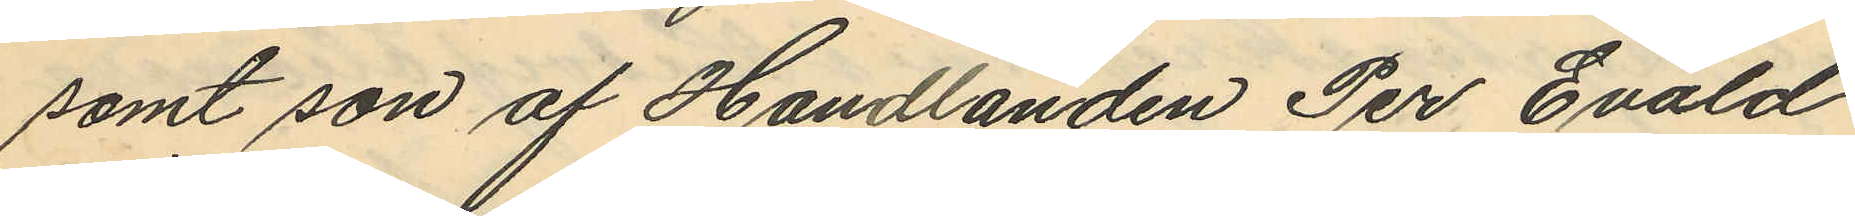samt son af Handlanden Per Evald
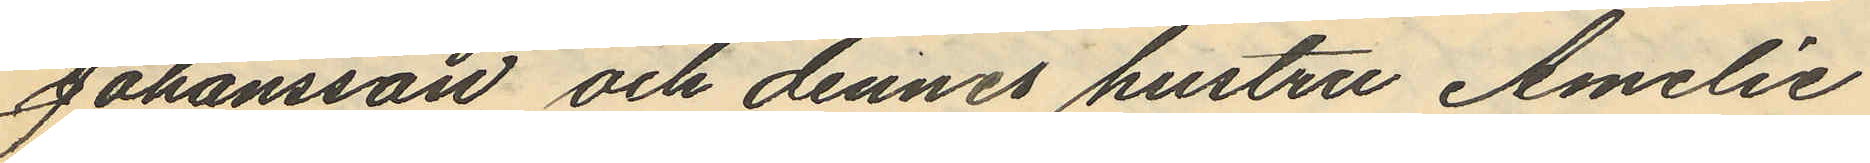Johansson och dennes hustru Amelie
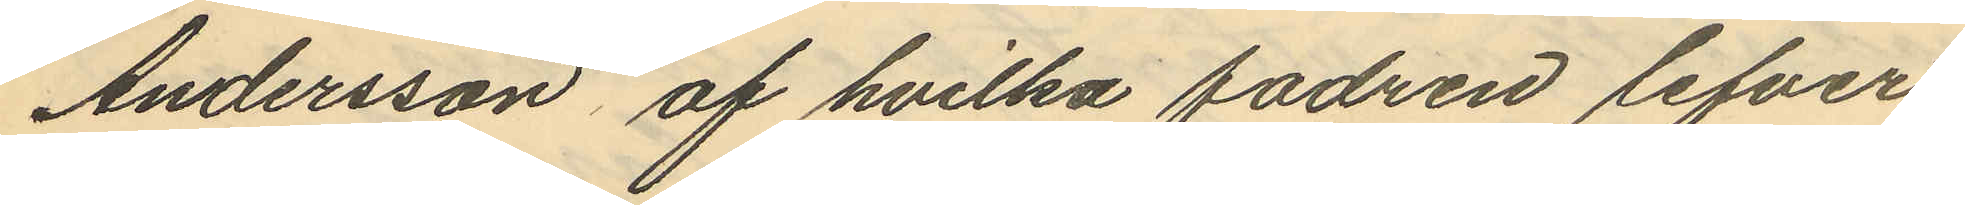Andersson af hvilka fadren lefver
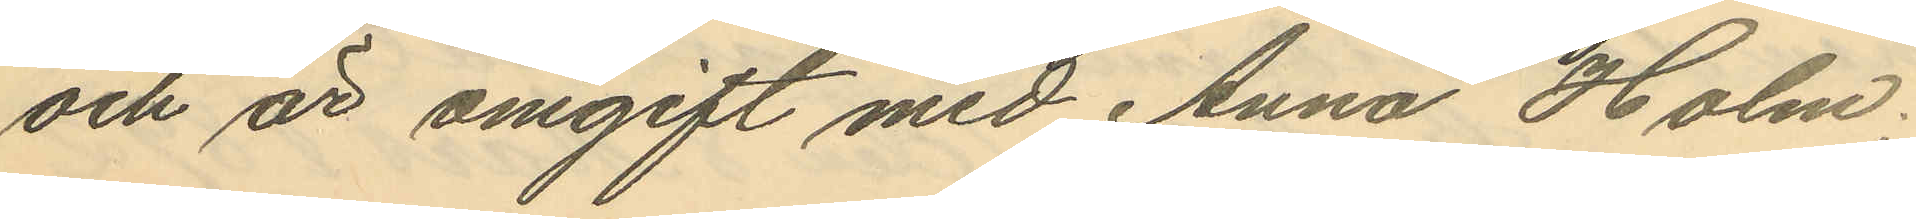och är omgift med Anna Holm;
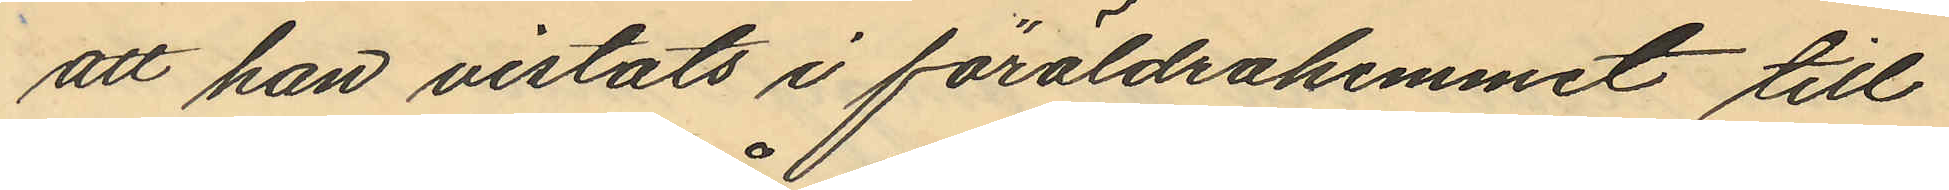att han vistats i föräldrahemmet till
